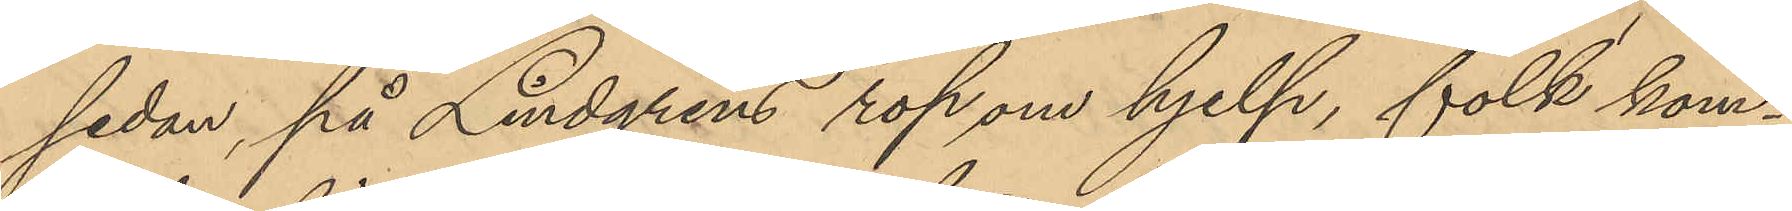sedan, på Lindgrens rop om hjelp, folk kom¬
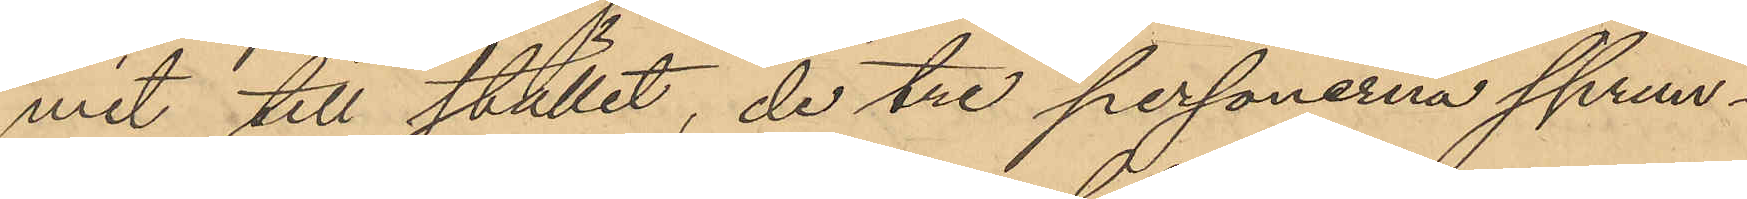mit till stället, de tre personerna sprun¬
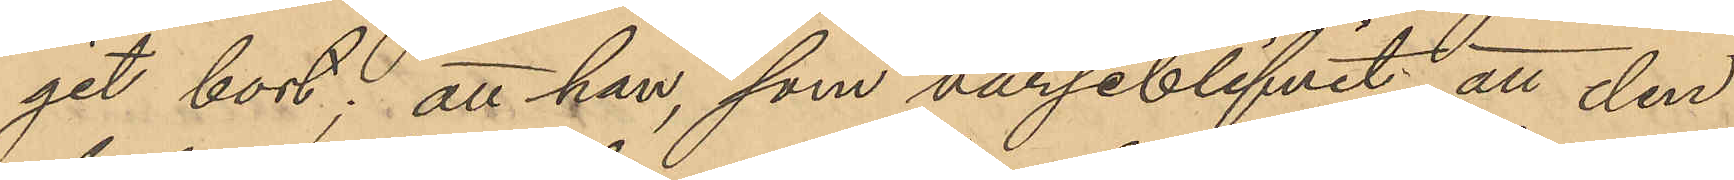git bort; att han, som varseblifvit att den
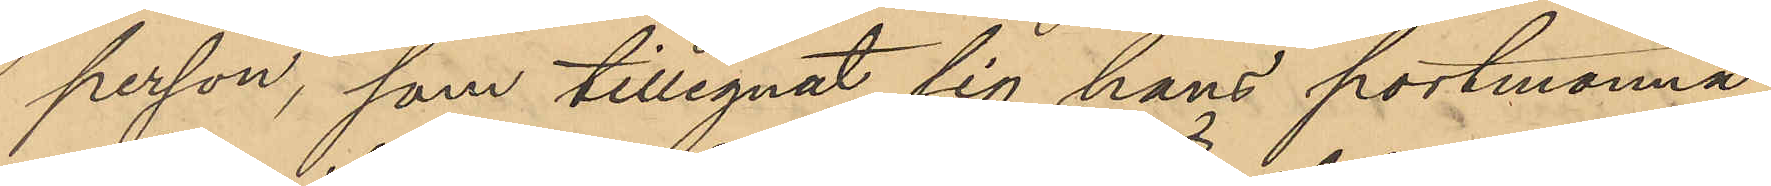person, som tillegnat sig hans portmonnä
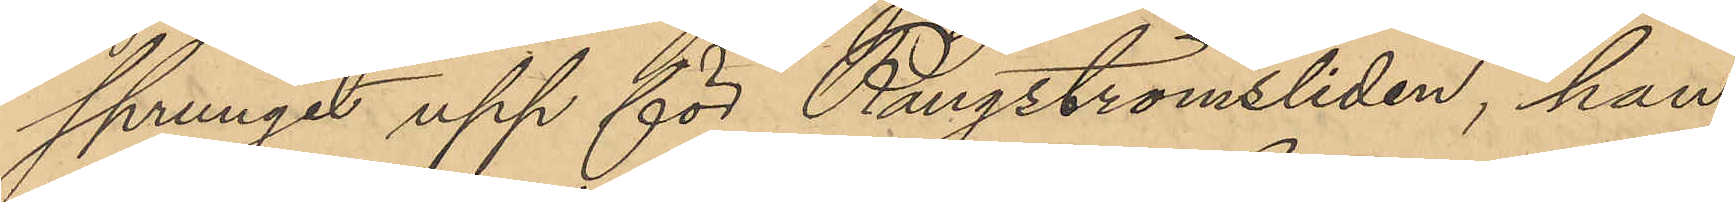sprungit upp för Rangströmsliden, han
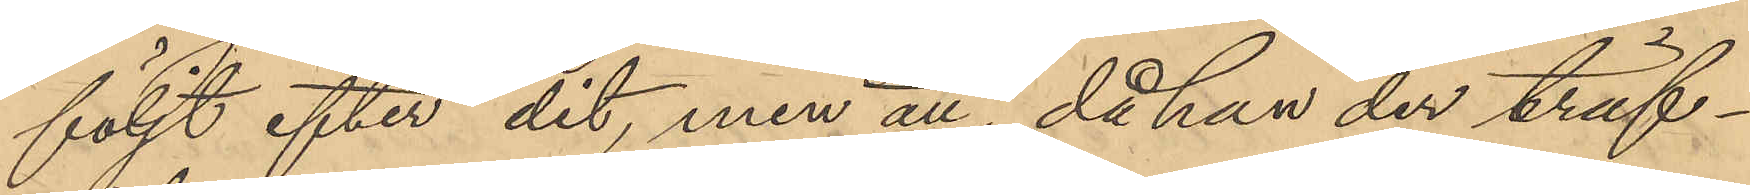följt efter dit, men att, då han der träf¬
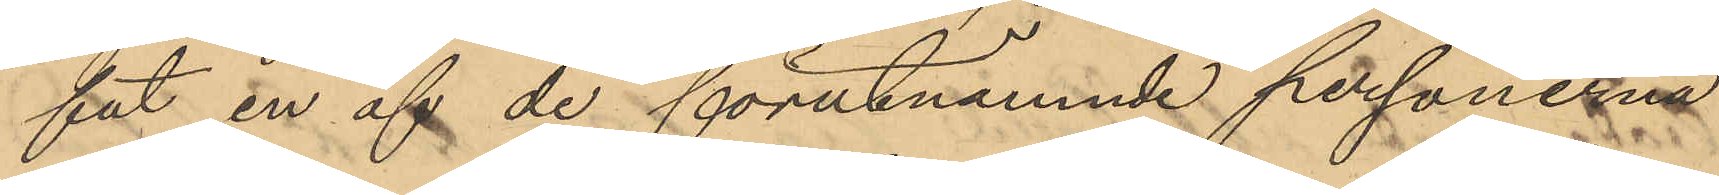fat en af de förutnämnde personern
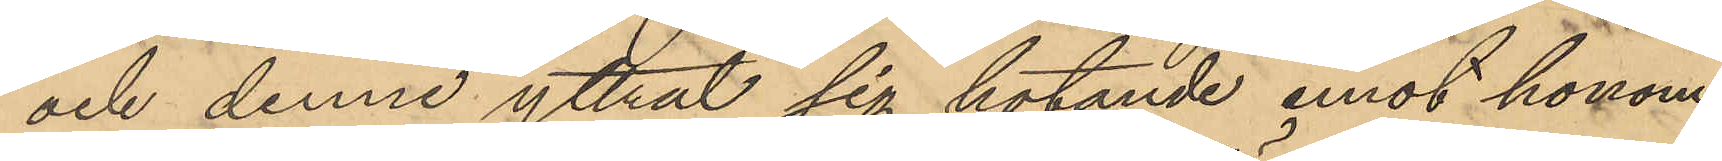och denne yttrat sig hotande emot honom
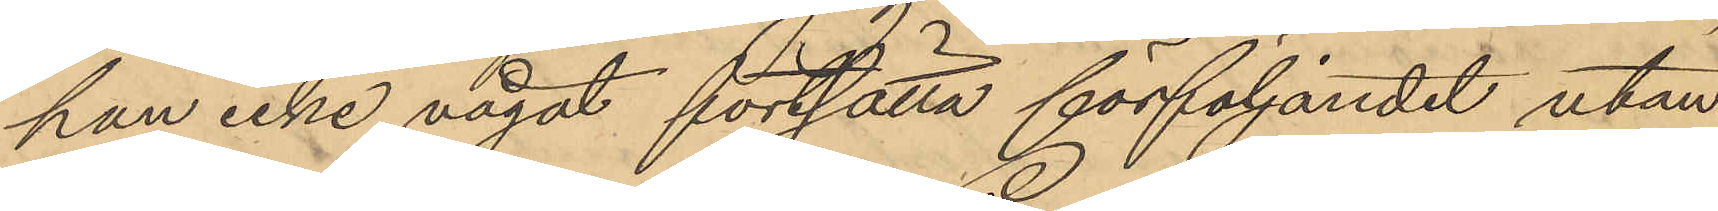han icke vågat förtsätta förföljandet utan
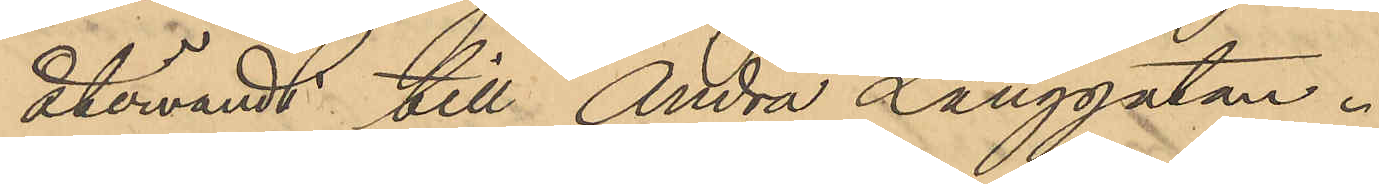återvändt till Andra Långgatan.
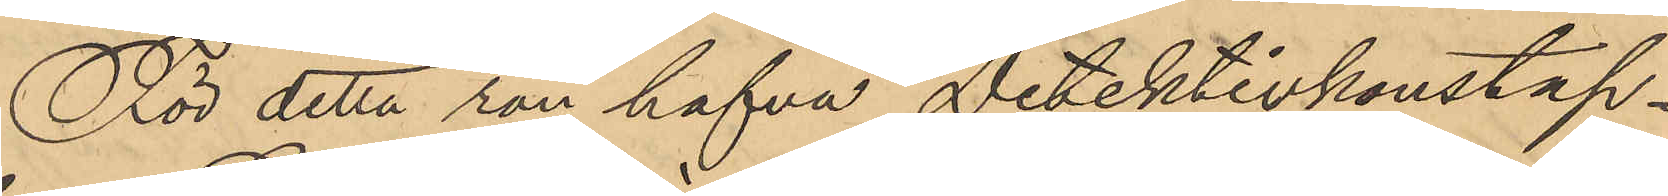För detta rån hafva Detektivkonstap¬
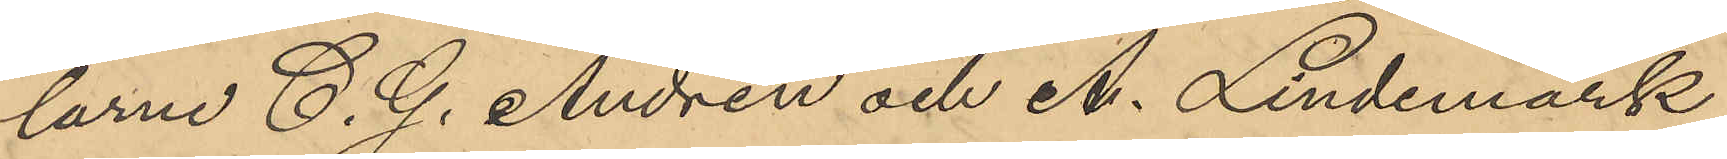larne C. G. Andrén och A. Lindemark
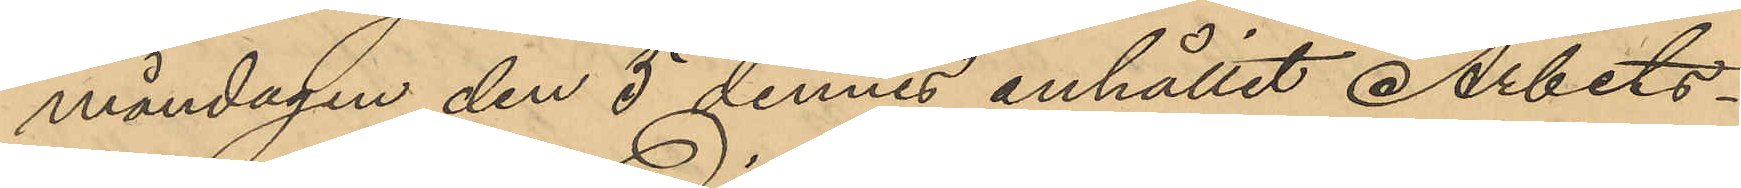måndagen den 5 dennes anhållit Arbets¬
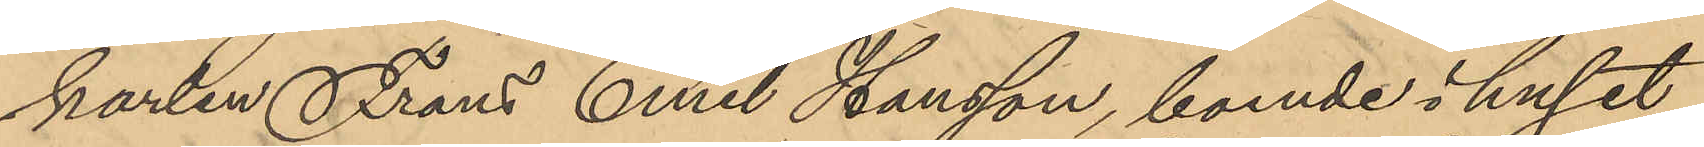karlen Frans Emil Hansson, boende i huset
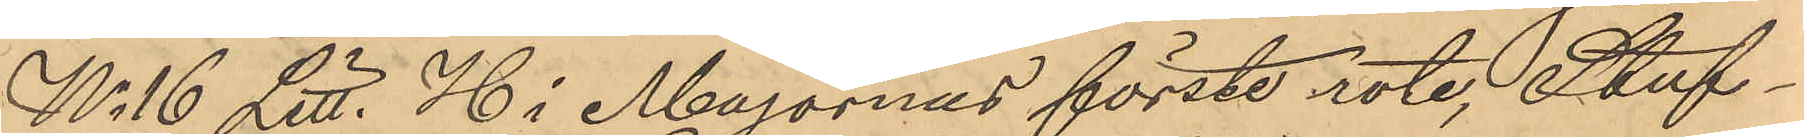No 16 Litt. H i Majornas förste rote, Stuf¬
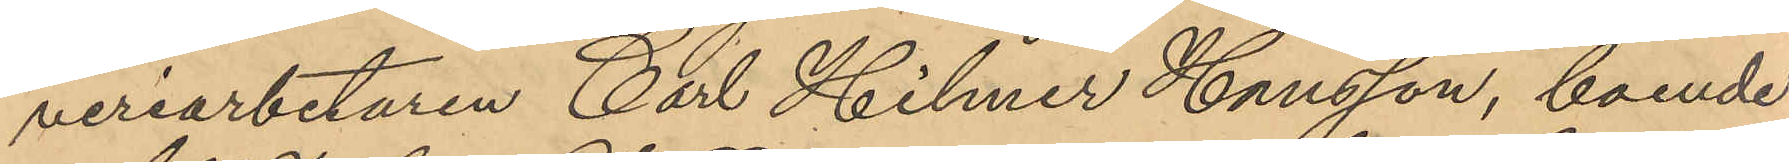veriarbetaren Carl Hilmer Hansson, boende
